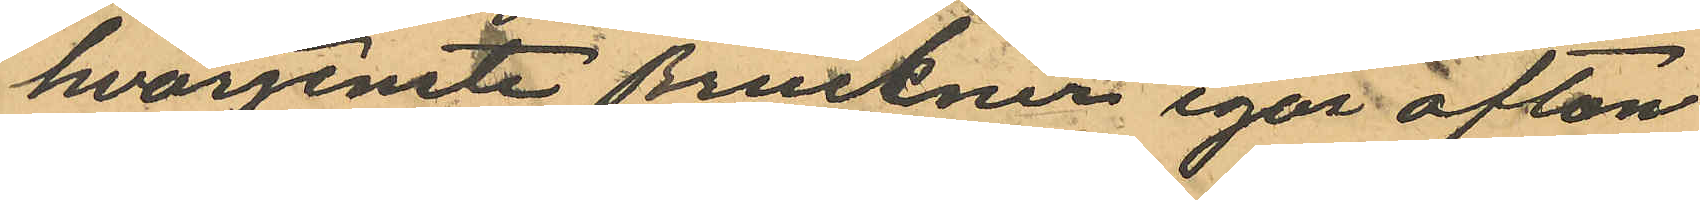hvarjemte Bruckner igår afton
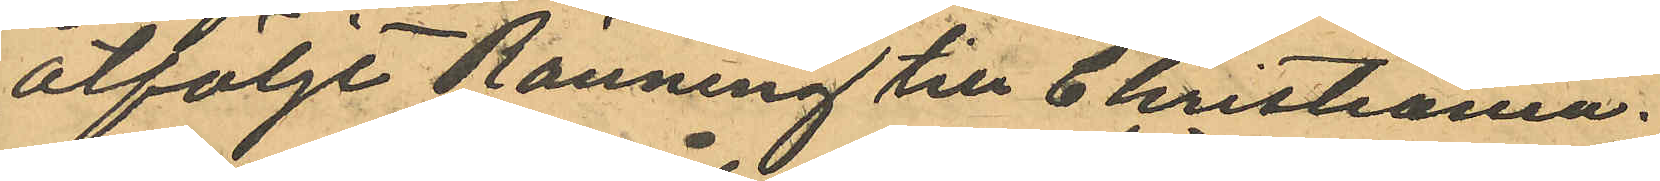åtföljt Ränning till Christiania.
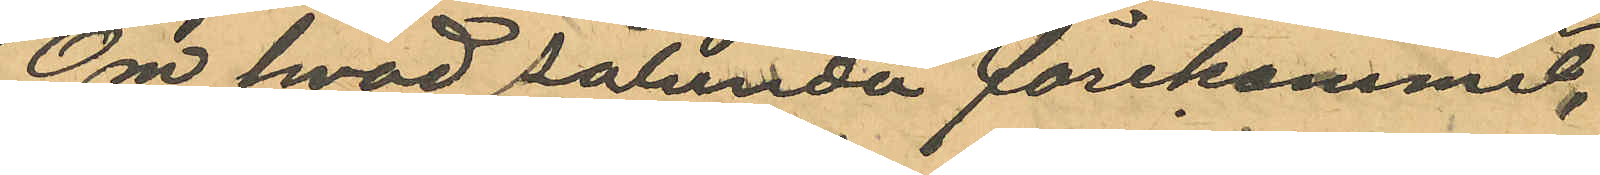Om hvad sålunda förekommit,
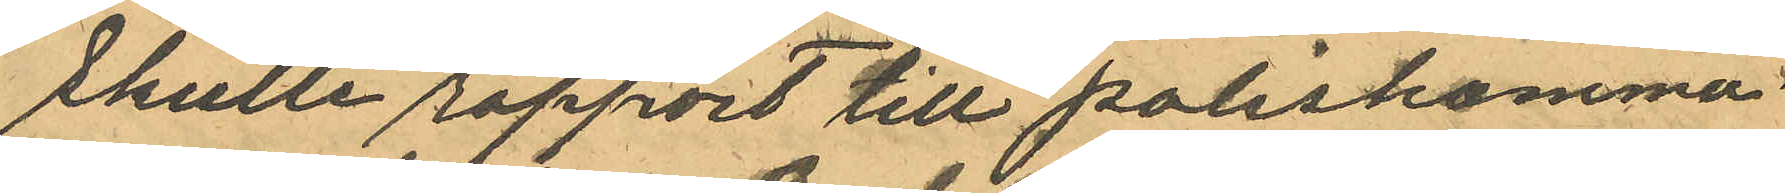skulle rapport till poliskamma¬
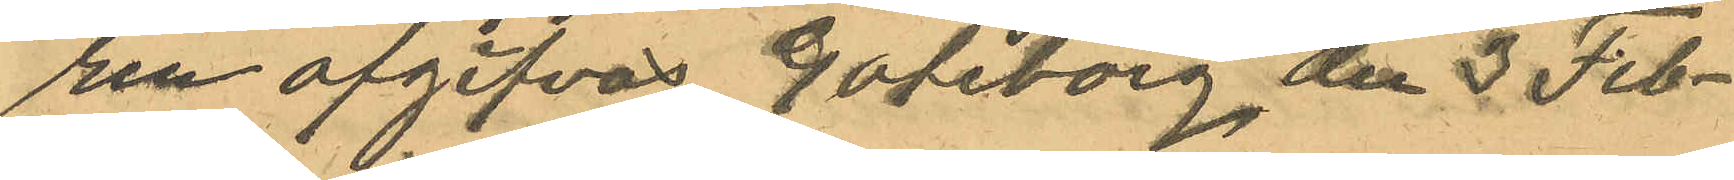ren afgifvas Goteborg, den 3 Feb¬
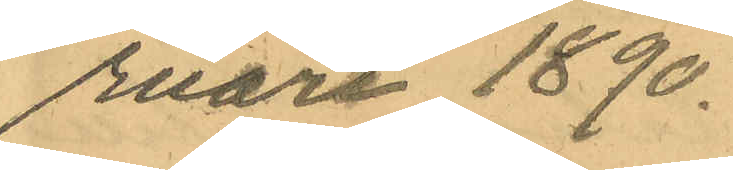ruari 1890.
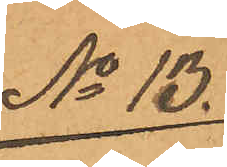No 13.
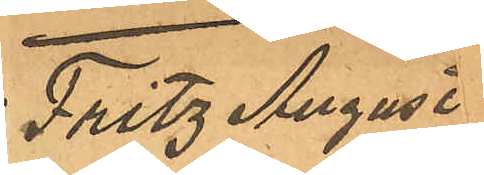Fritz August
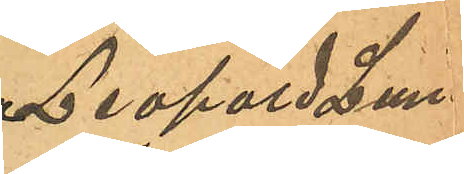Leopold Lun¬
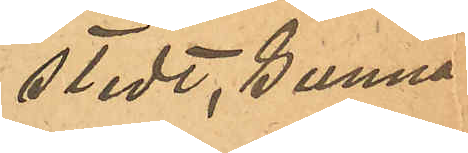stedt, Gunnar
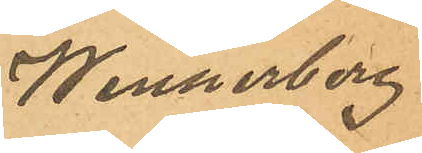Wennerberg
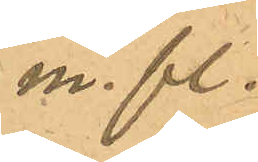m. fl.
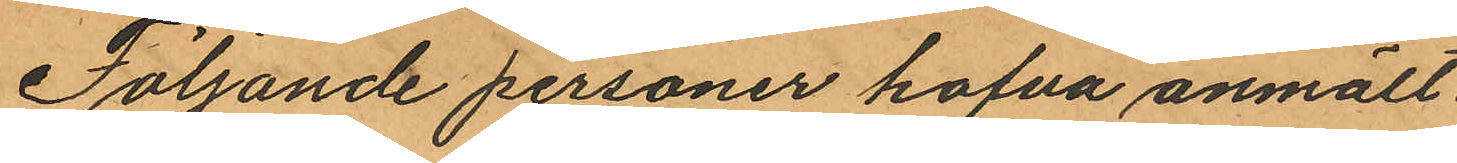Följande personer hafva anmält
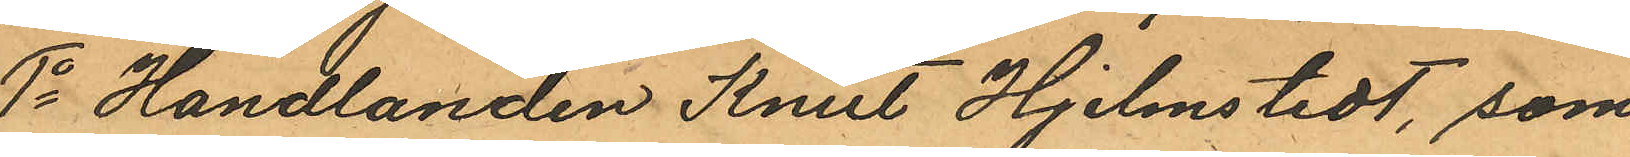1o Handlanden Knut Hjelmstedt, som
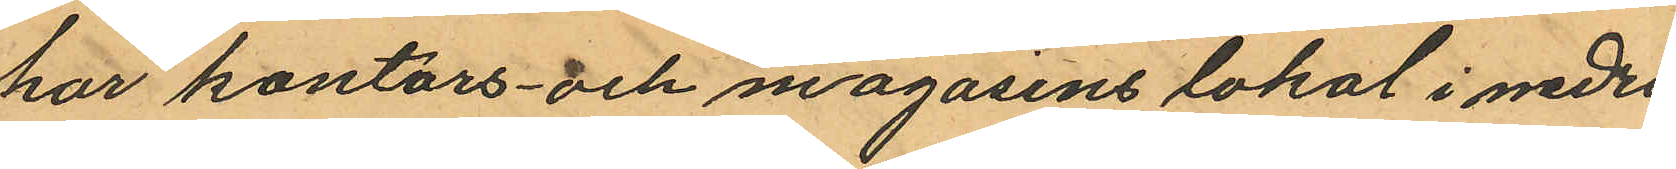har kontors- och magasinslokal i nedra
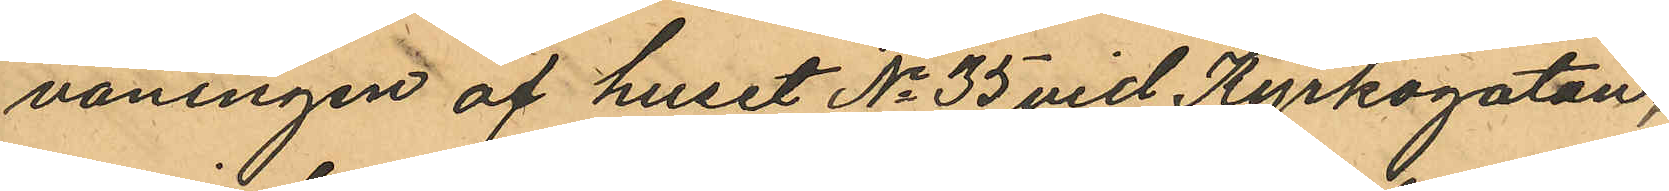våningen af huset No 35 vid Kyrkogatan,
